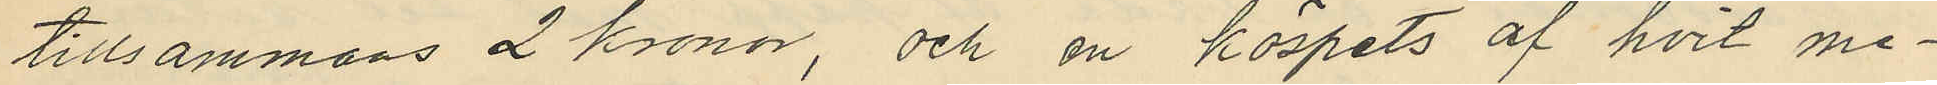tillsammans 2 kronor, och en köspets af hvit me¬
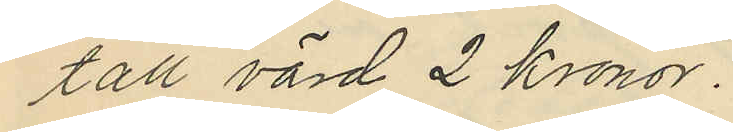tall värd 2 Kronor.
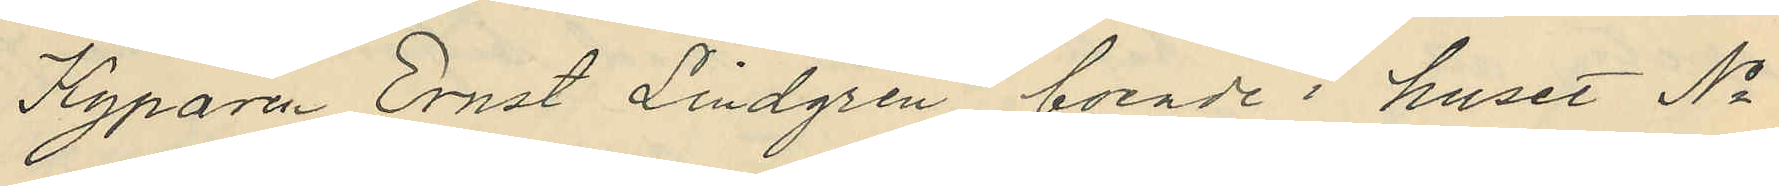Kyparen Ernst Lindgren, boende i huset No
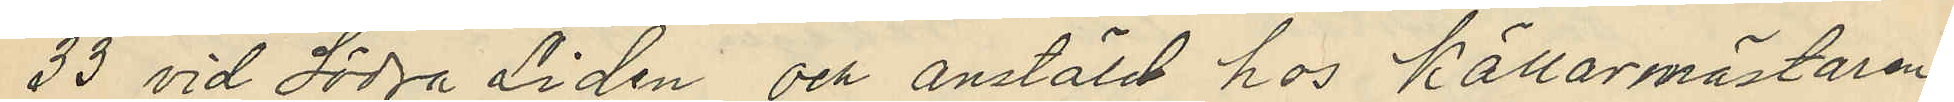33 vid Södra Lidén och anstäld hos Källarmästaren
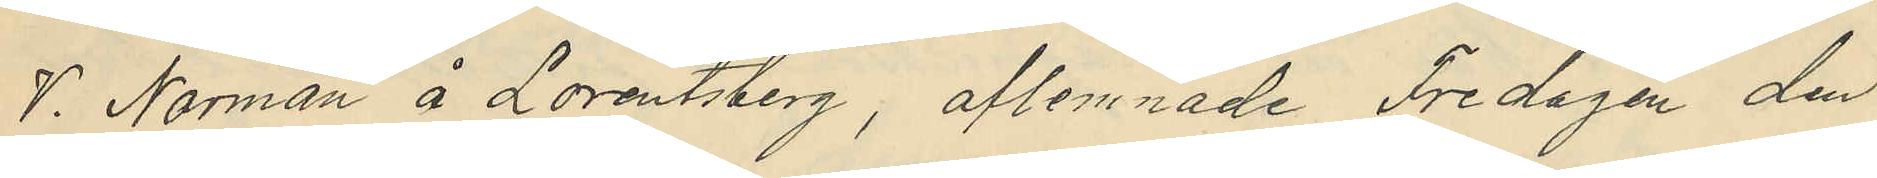V. Norman å Lorentsberg, aflemnade Fredagen den
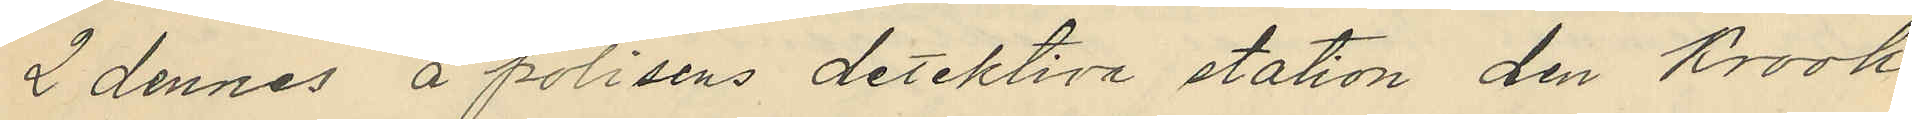2 dennes å polisens detektiva station den Krook
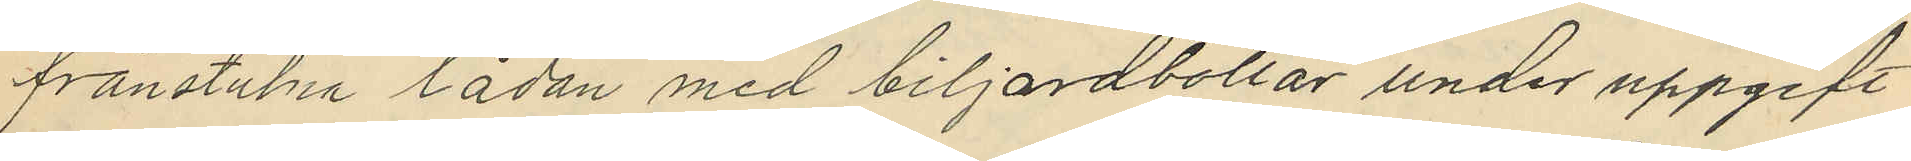frånstulna lådan med biljardbollar under uppgift
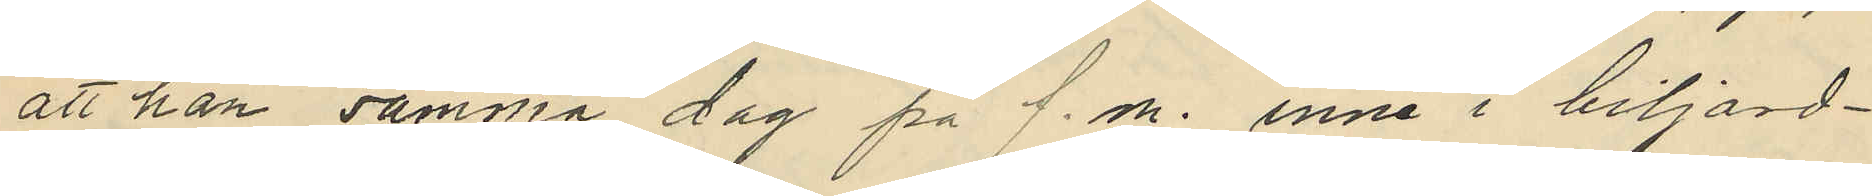att han samma dag på f.m. inne i biljard¬
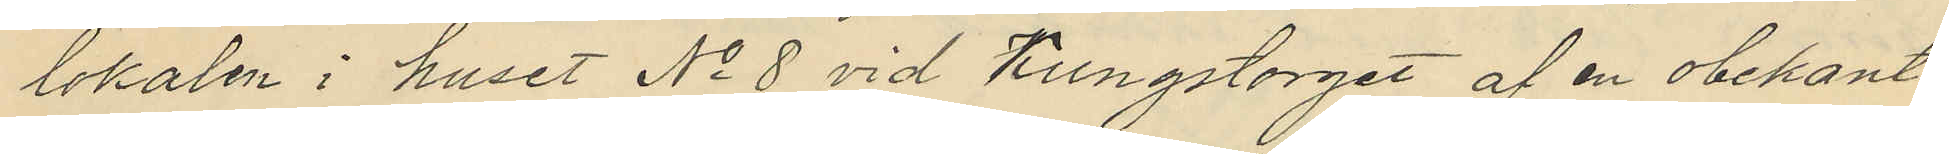lokalen i huset No 8 vid Kungstorget af en obekant
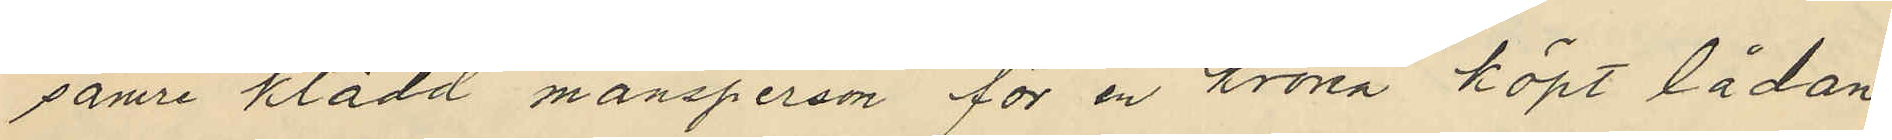sämre klädd mansperson för en krona köpt lådan
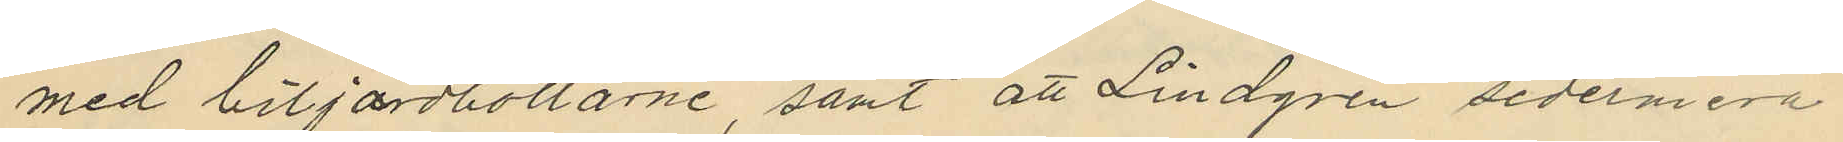med biljardbollarne, samt att Lindgren sedermera
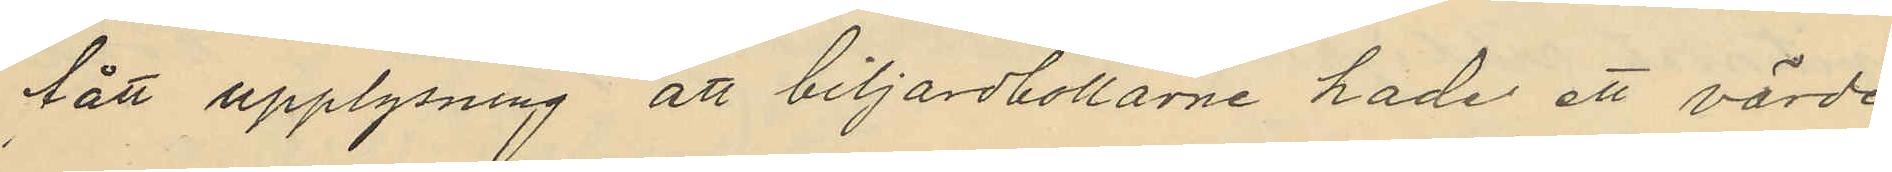fått upplysning att biljardbollarne hade ett värde
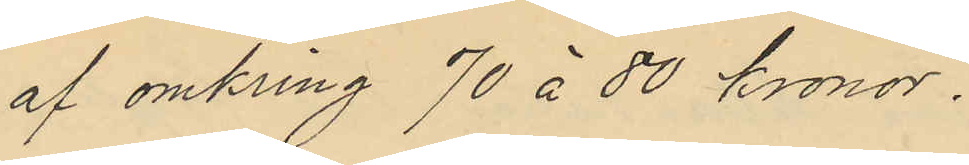af omkring 70 à 80 kronor.
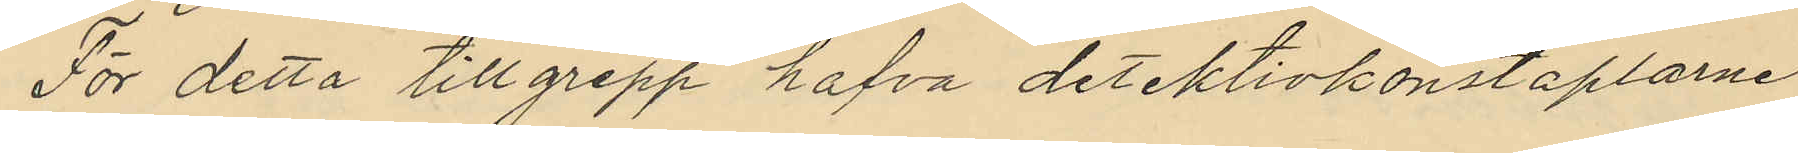För detta tillgrepp hafva detektivkonstaplarne
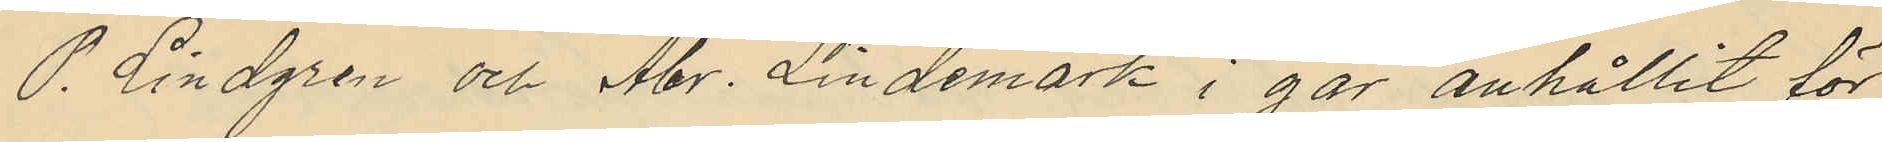P. Lindgren och Abr. Lindemark i går anhållit för
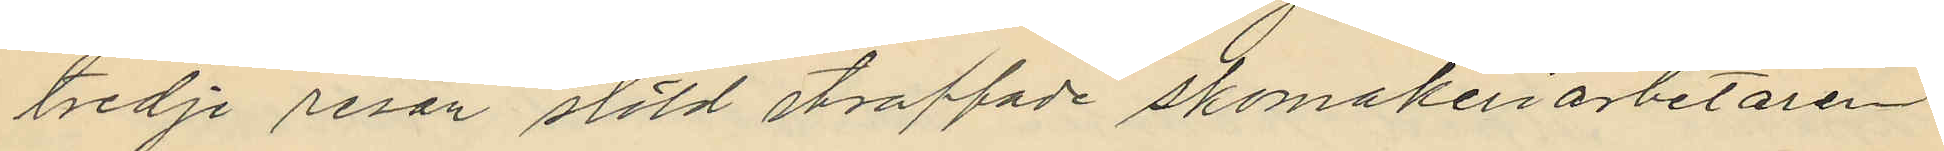tredje resan stöld straffade skomakeriarbetaren
